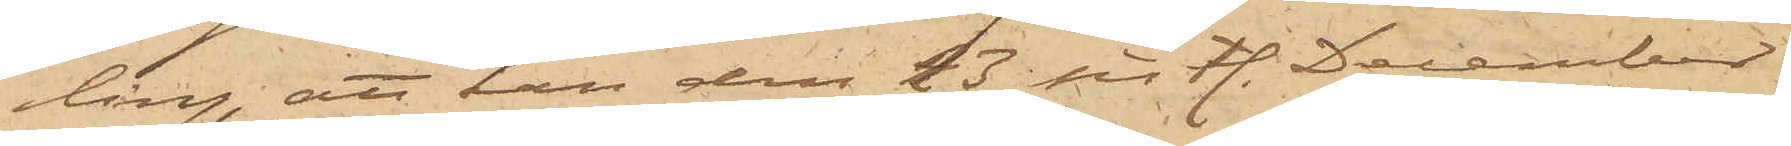ling, att han den 23 sist. December
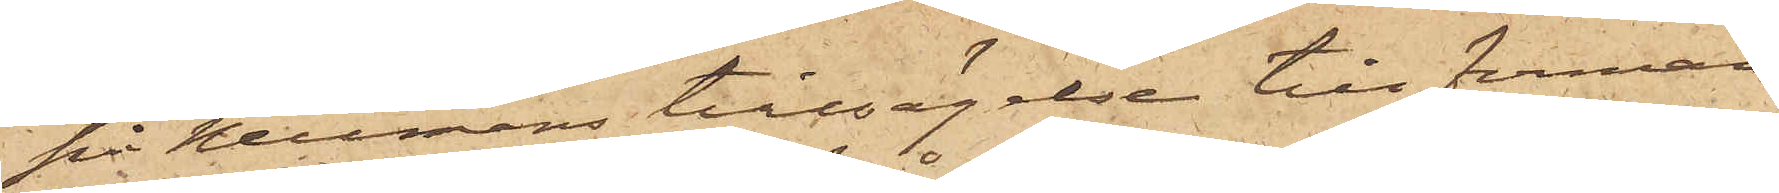på Neumans tillsägelse till firman
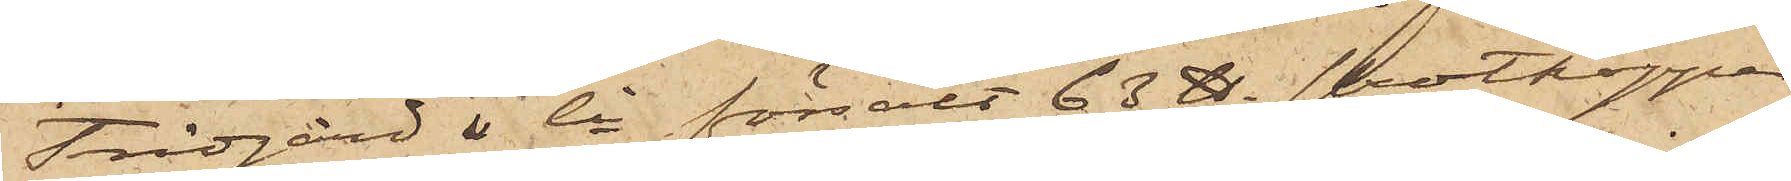Trägård & Co försålt 63 ℔ skrotkoppar
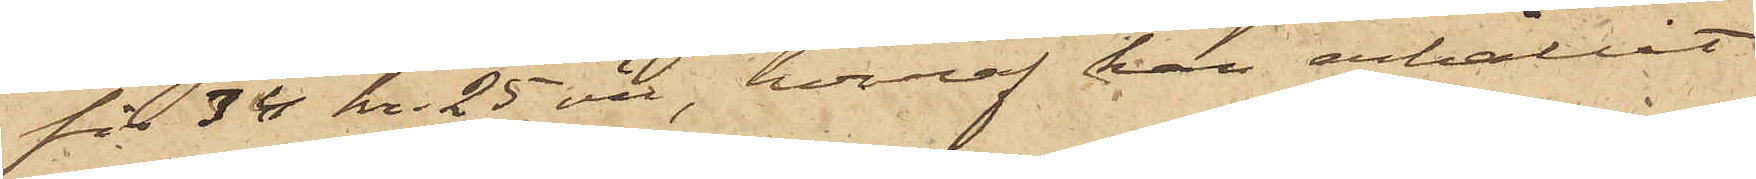för 34 kr. 25 öre, hvaraf han erhållit
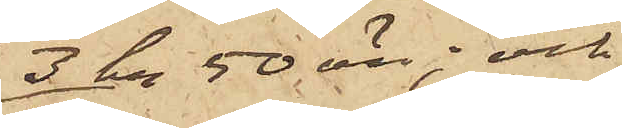3 kr 50 öre; och
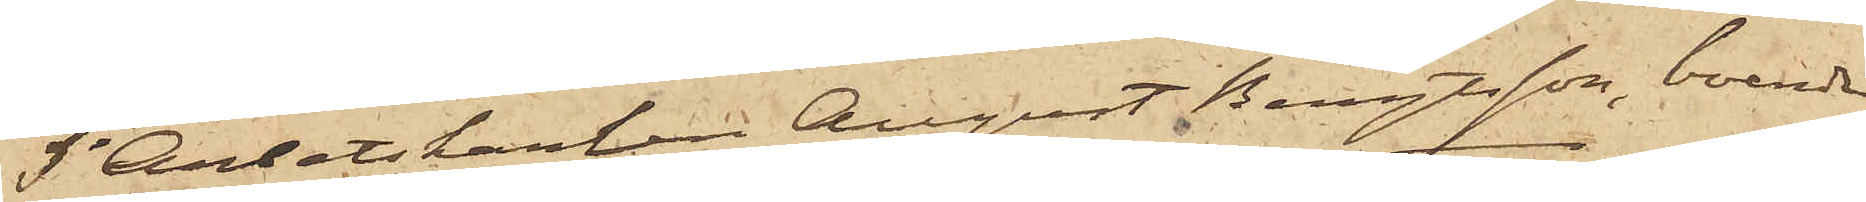5o Arbetskarlen August Bengtsson, boende
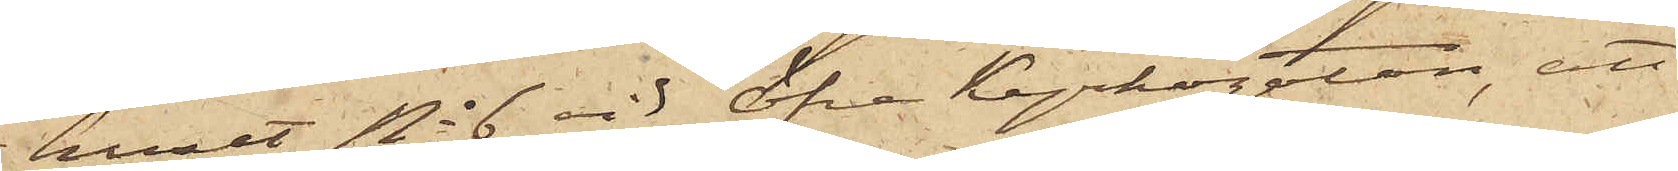i huset No 6 vid Öfra Kyrkogatan, att
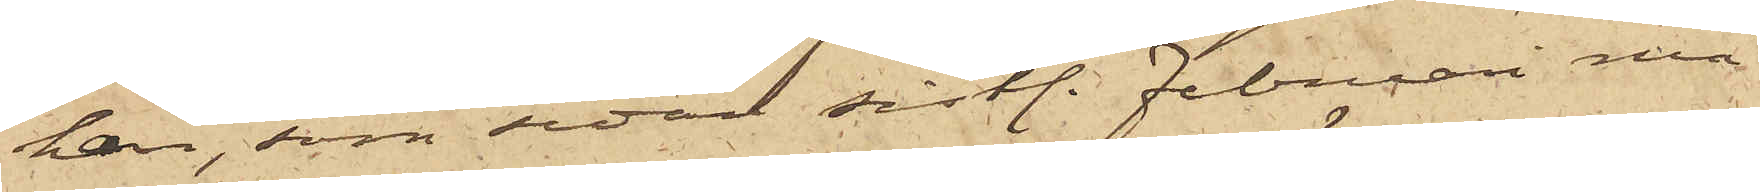han, som sedan sist. Februari må¬
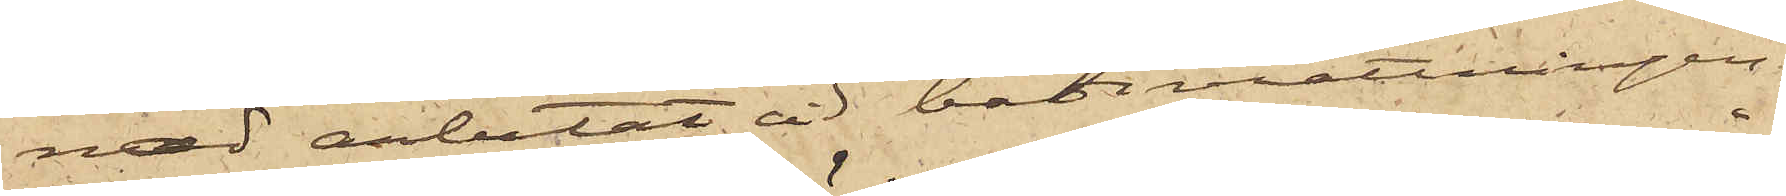nad arbetat vid badinrättningen,
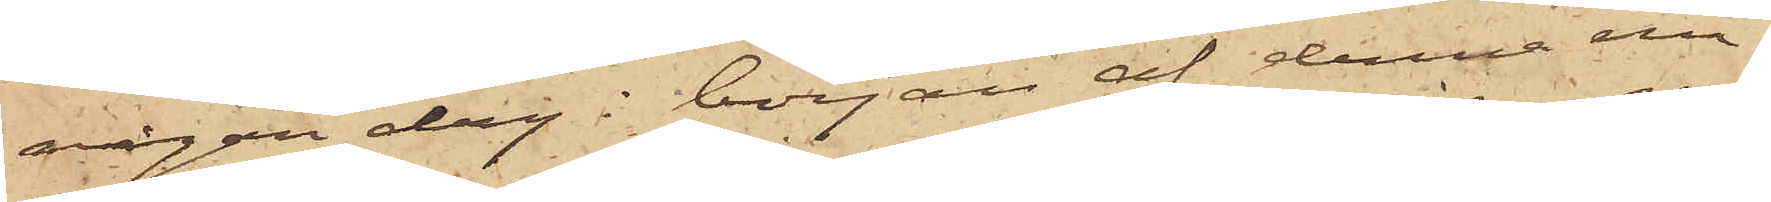någon dag i början af denne må¬
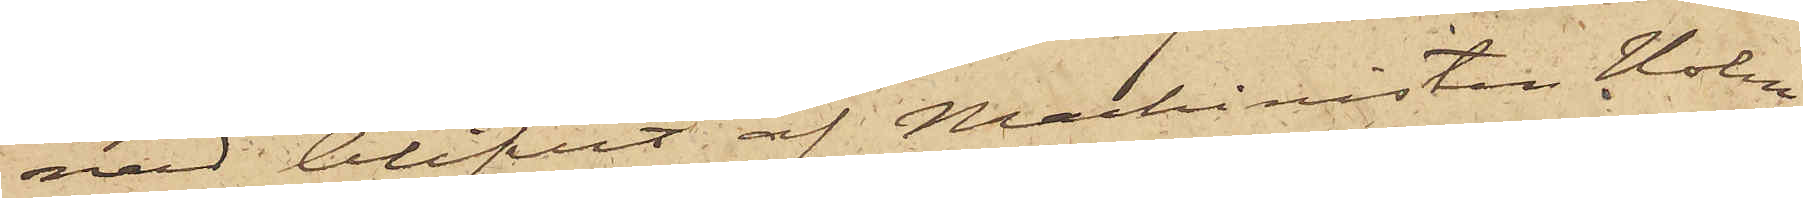nad blifvit af Maskinisten Holm
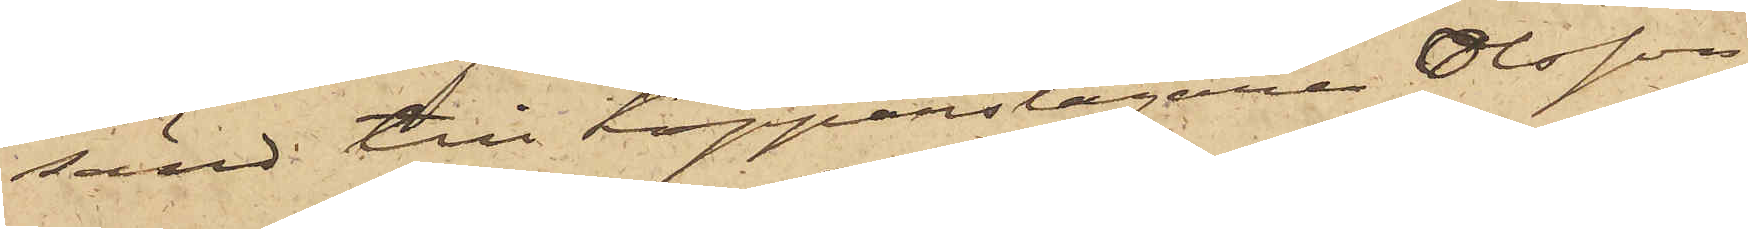sänd till Kopparslagaren Olsson
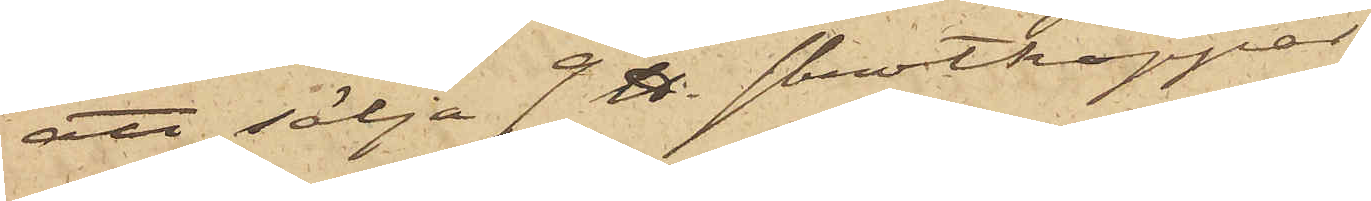att sälja 9 ℔ skrotkoppar,
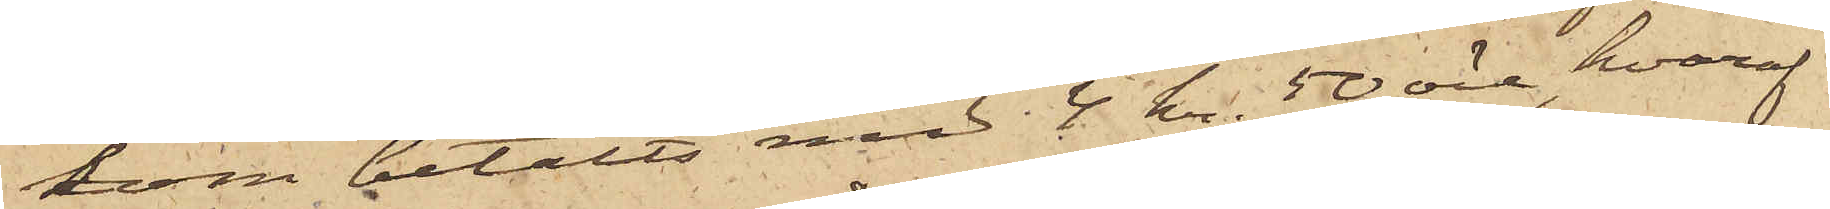kom betalts med 4 kr. 50 öre, hvaraf
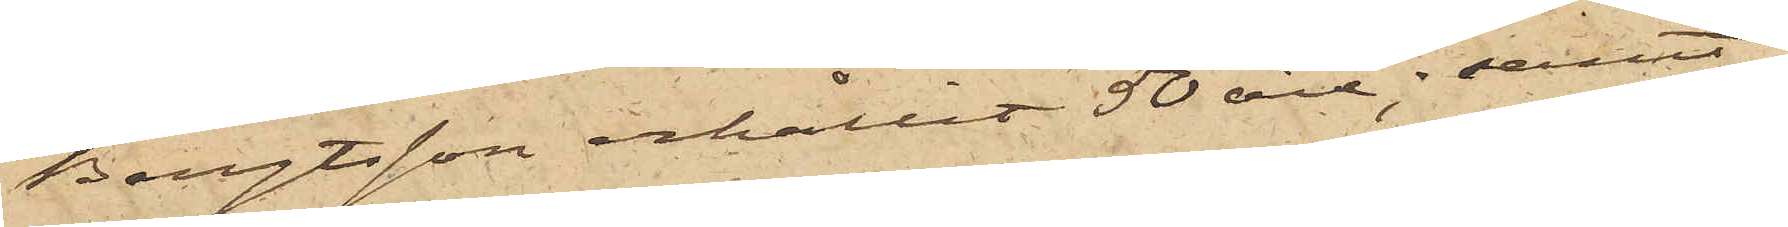Bengtsson erhållit 50 öre; samt
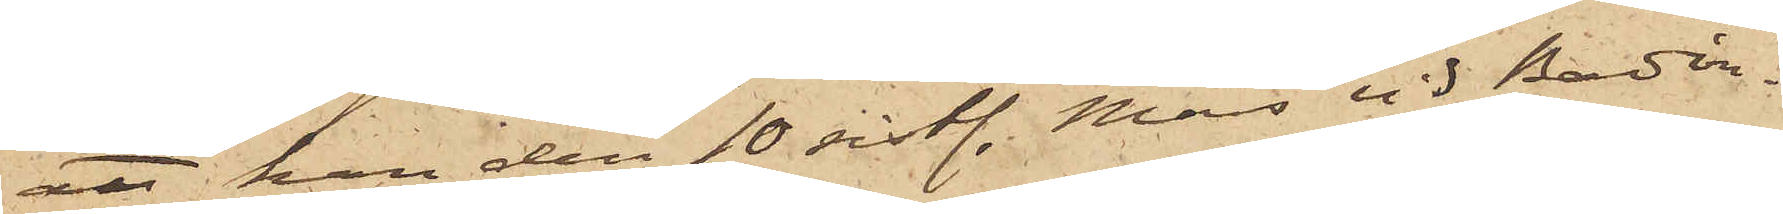att han den 10 sist. Mars vid Badin¬
